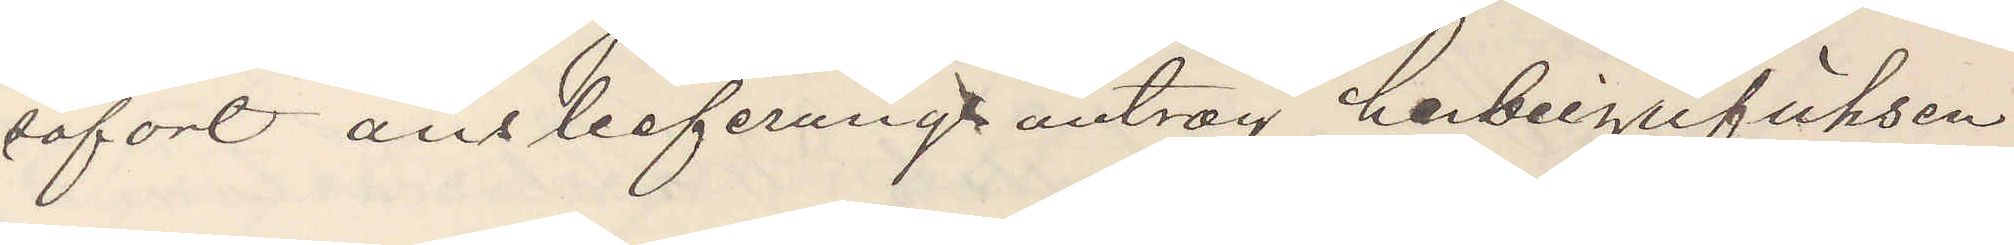sofort aus lesferungt antrag herbeizufühsen
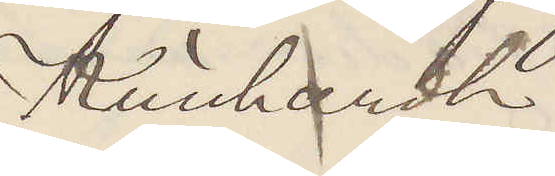Künhardh
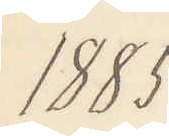1885
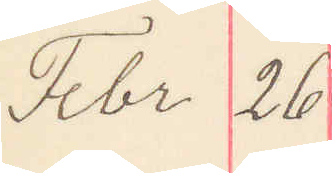Febr 26
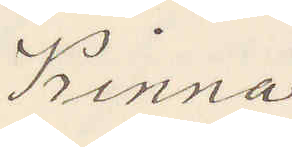Kinna
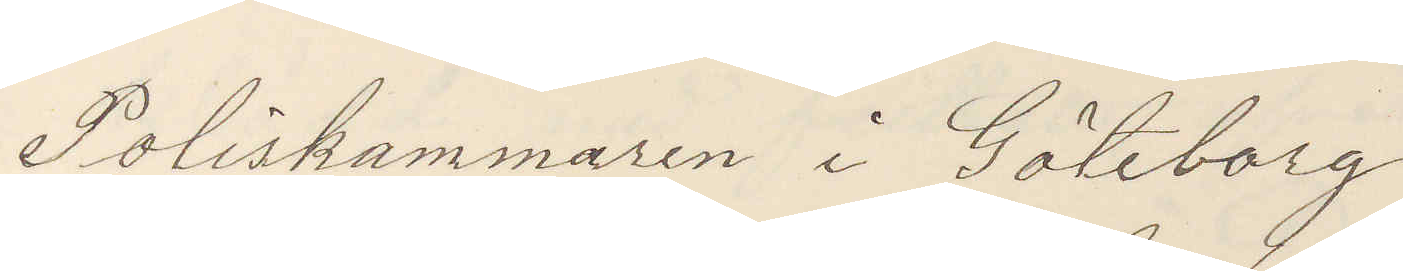Poliskammaren i Göteborg
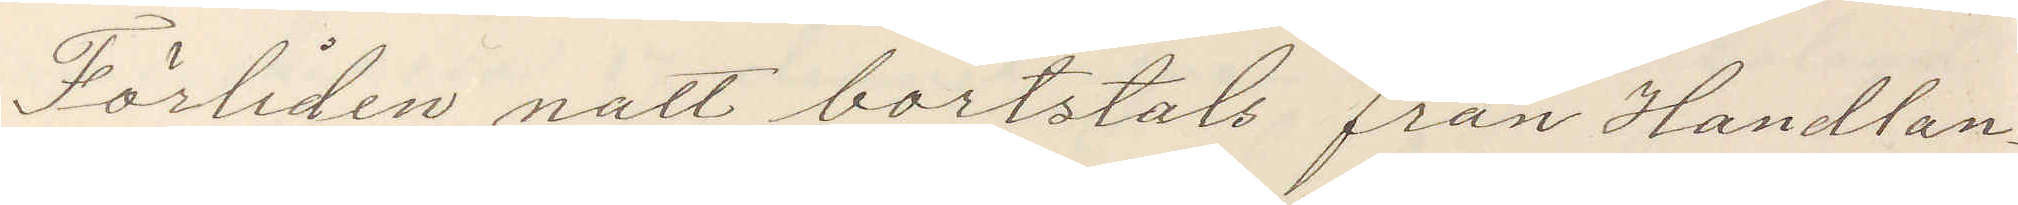Förliden natt bortstals från Handlan¬
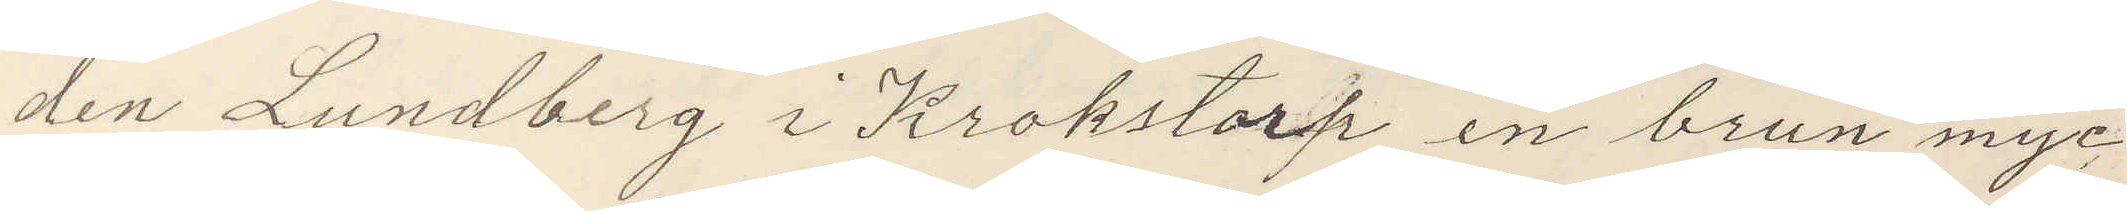den Lundberg i Krokstorp en brun myc¬
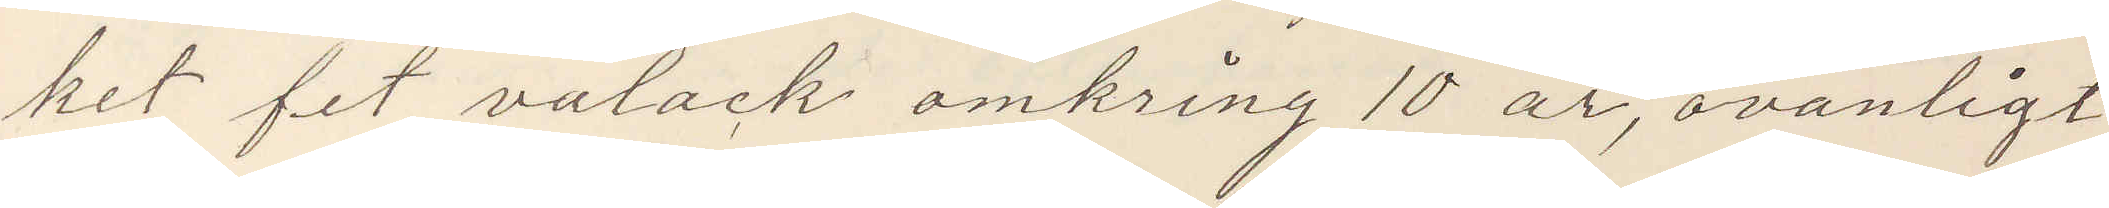ket fet valack omkring 10 år, ovanligt
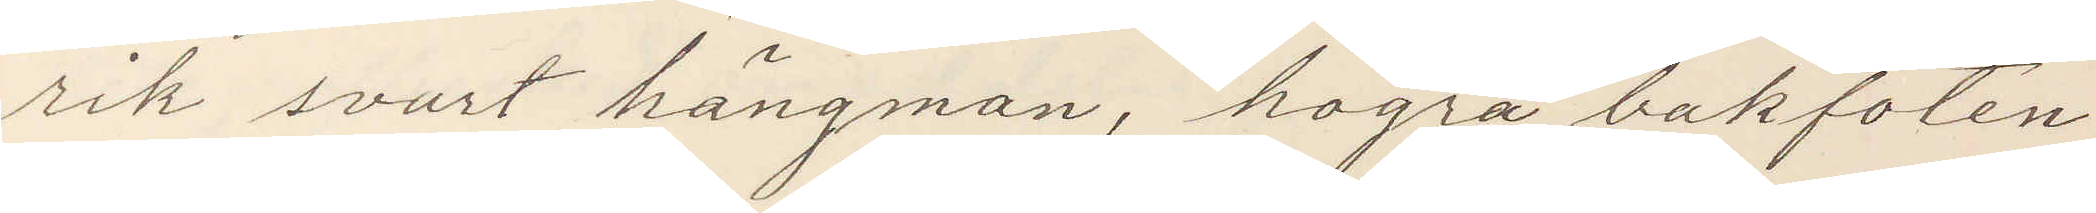rik svart hängman, högra bakfoten
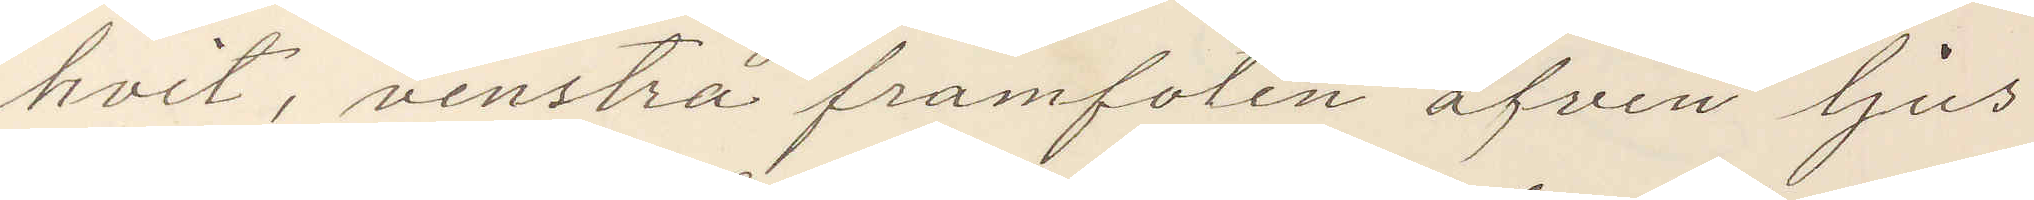hvit, venstra framfoten afven ljus
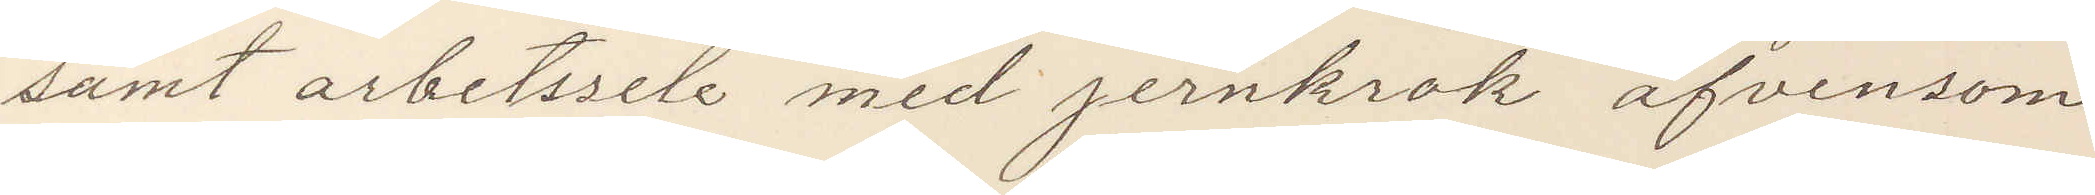samt arbetssele med jernkrok äfvensom
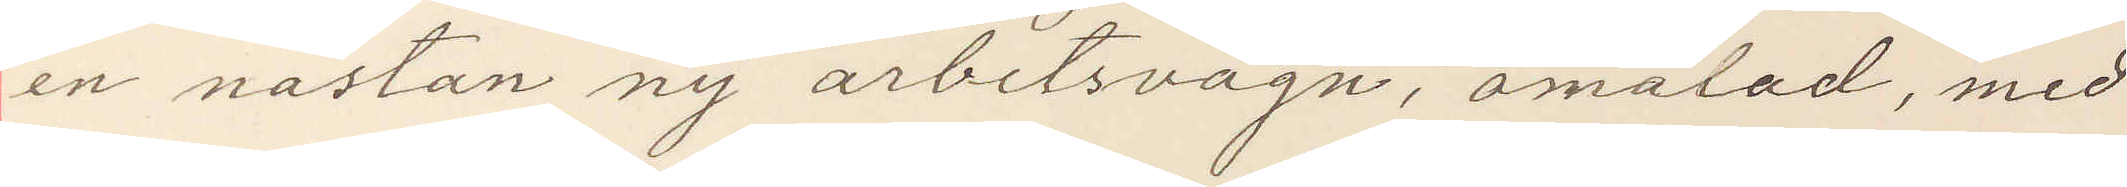en nästan ny arbetsvagn, omålad med
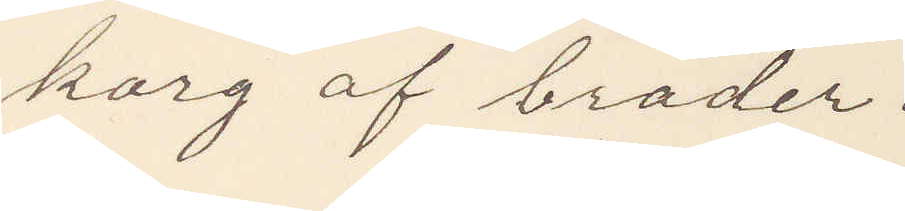korg af bräder.
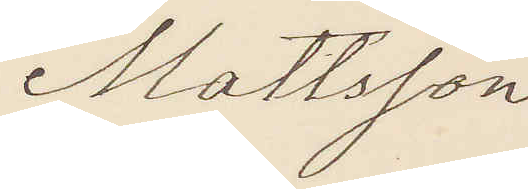Mattsson
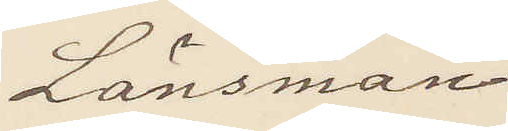Länsman
